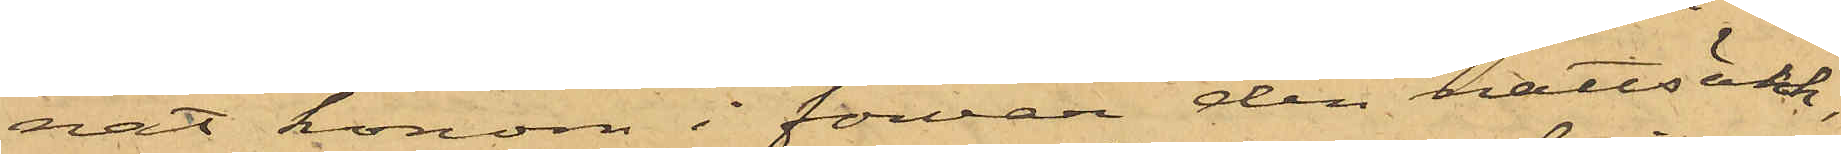nat honom i förvar den nattsäck,
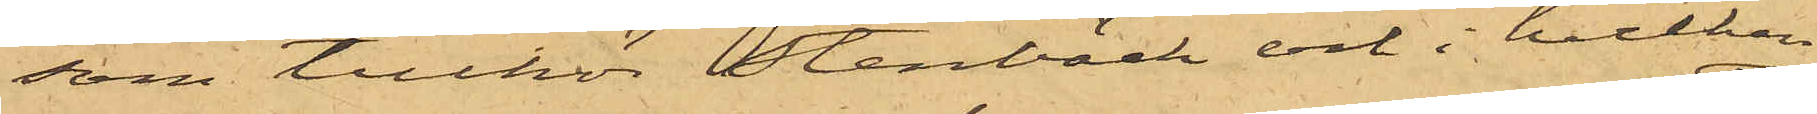som tillhör Stenbäck och i hvilken
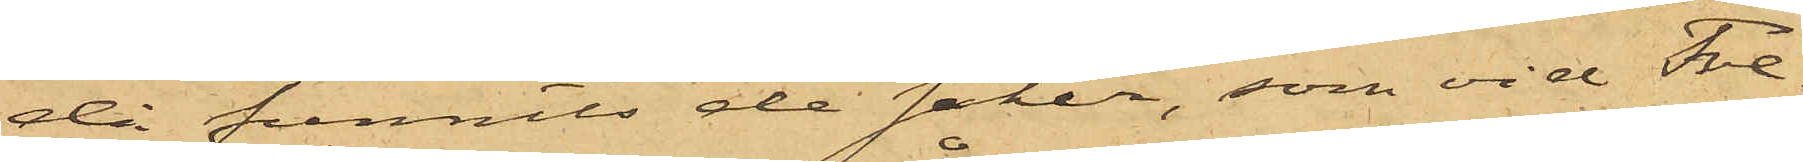då funnits de saker, som vid Fre¬
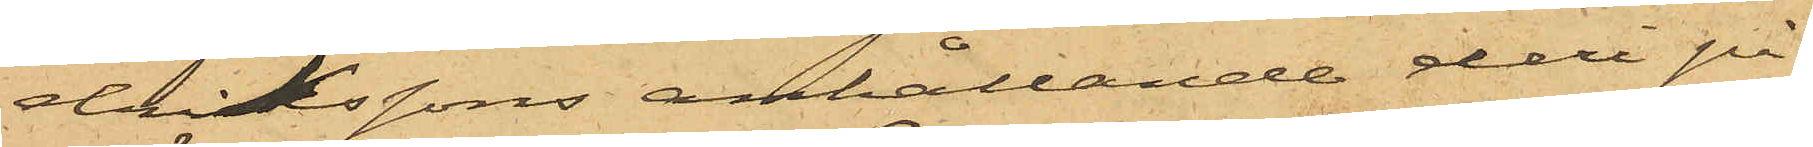drikssons anhållande deri på¬
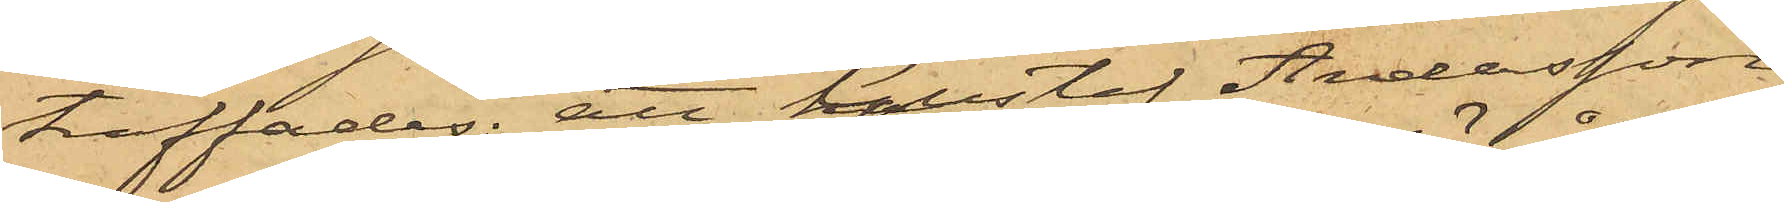träffades; att Gustaf Andersson
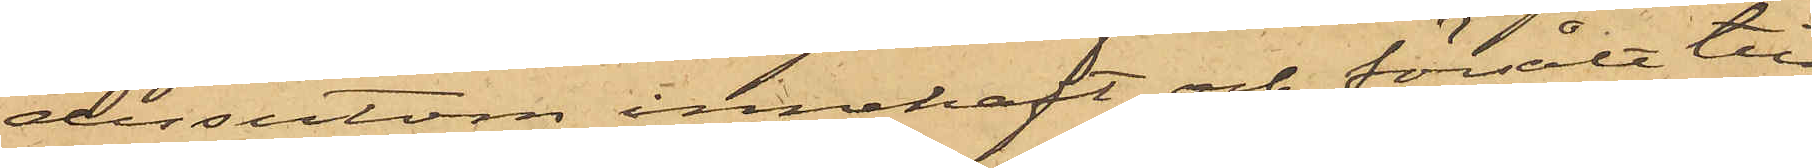dessutom innehaft och försålt till
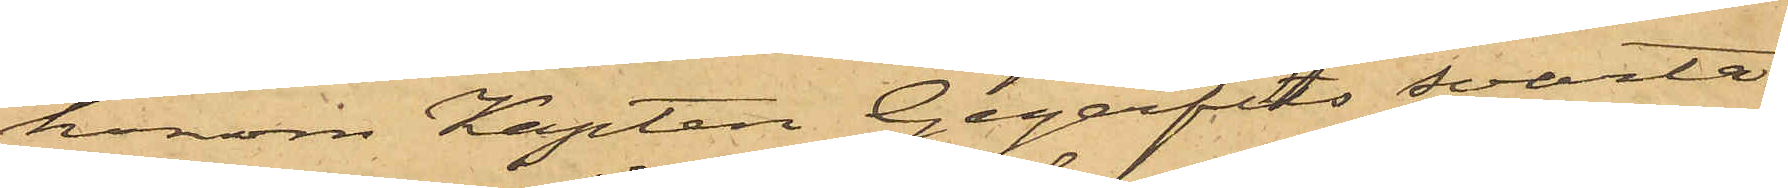honom Kapten Gegerfelts svarta
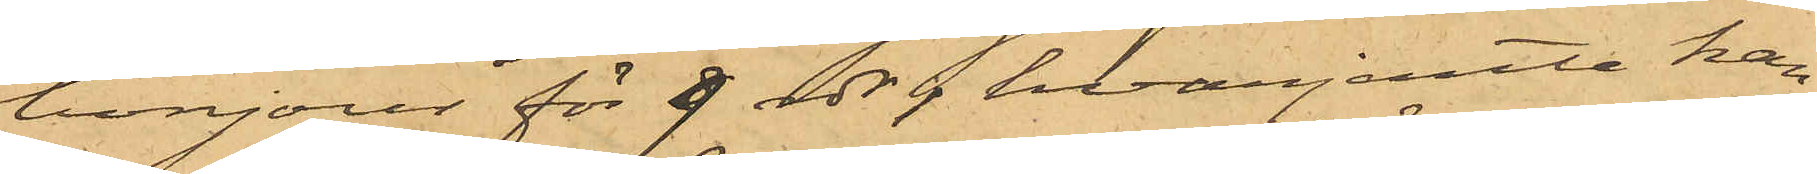bonjour för 9 rdr; hvarjemte han
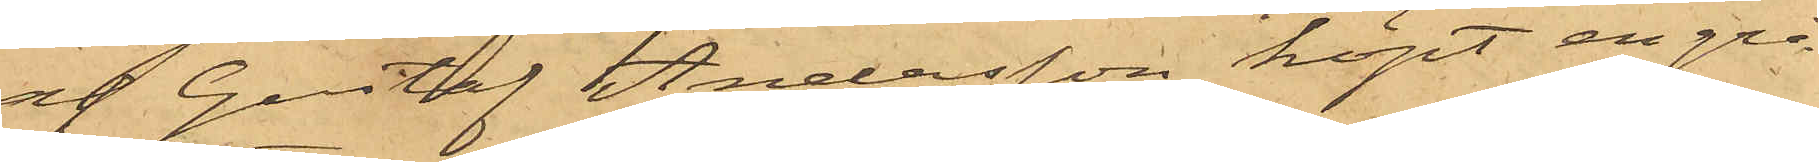af Gustaf Andersson köpt en grå
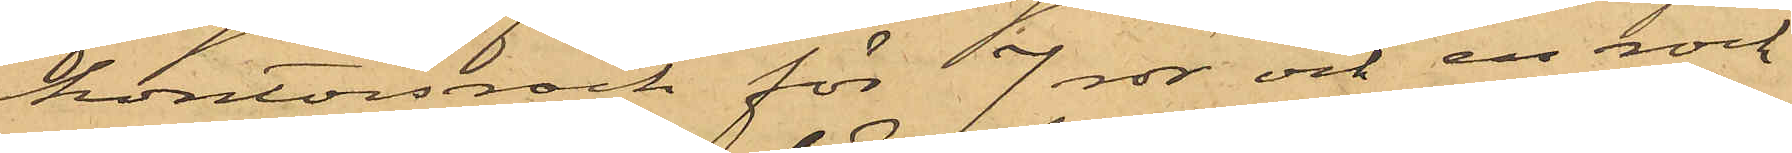kontorsrock för 7 rdr och en rock
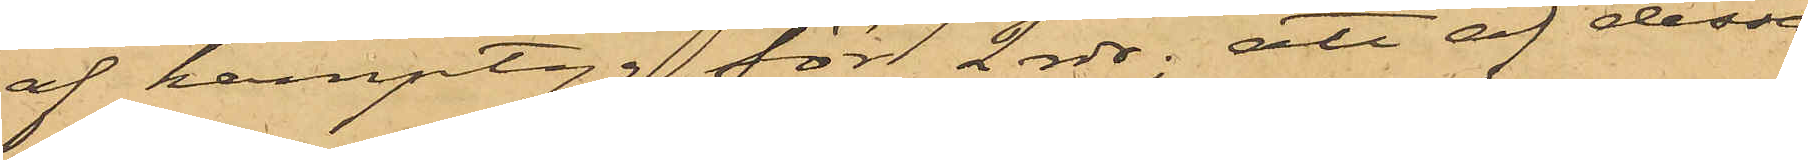af hamptyg för 2 rdr; att af dessa
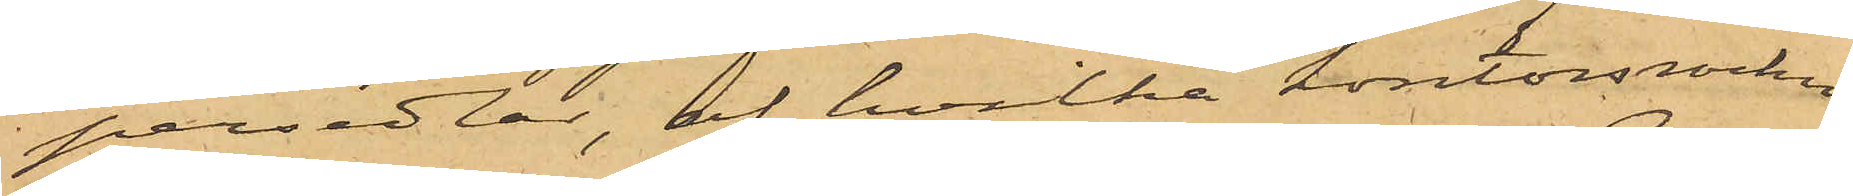persedlar, af hvilka kontorsrocken
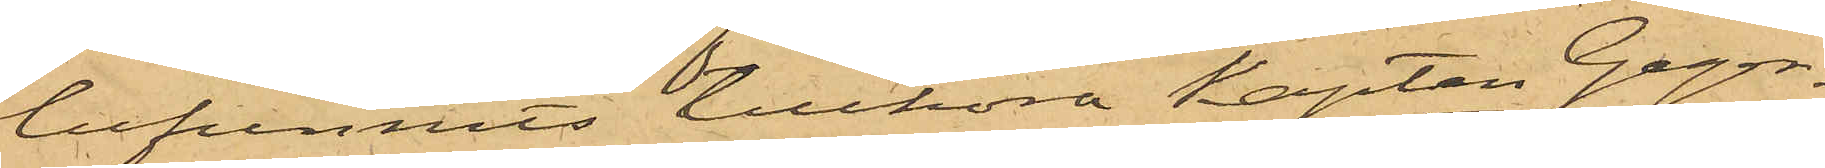befunnits tillhöra Kapten Geger¬
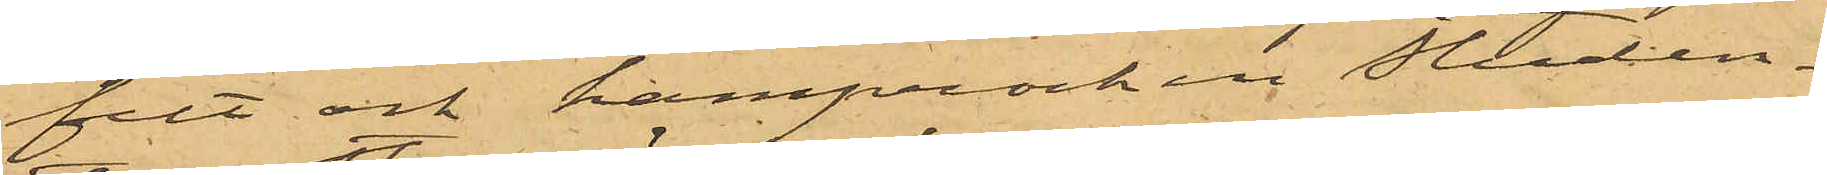felt och hamprocken Studen¬
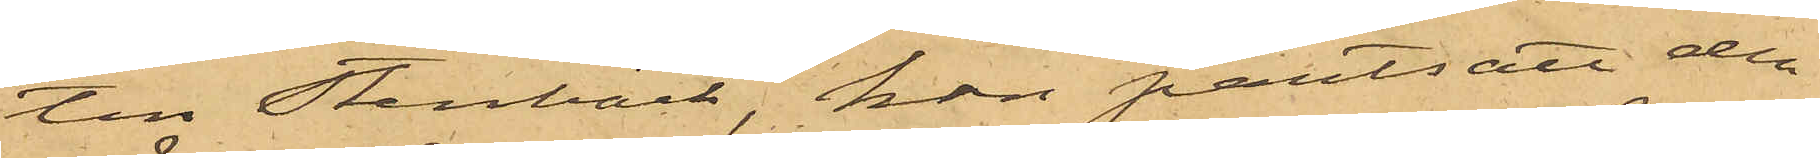tin Stenbäck, han pantsatt den
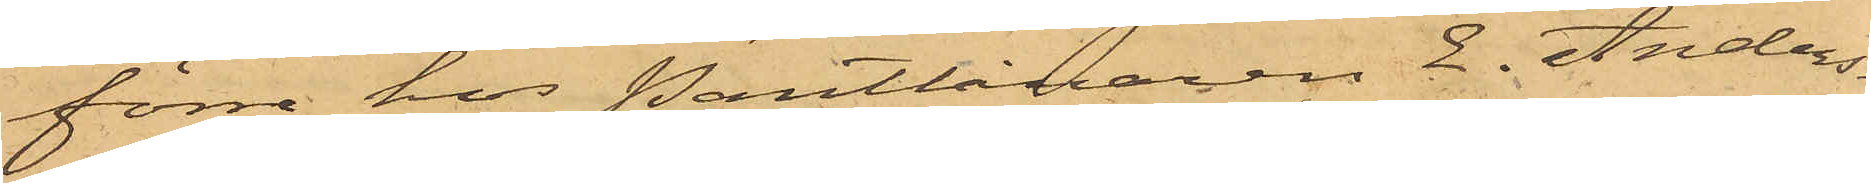förre hos Pantlånaren E. Anders¬
